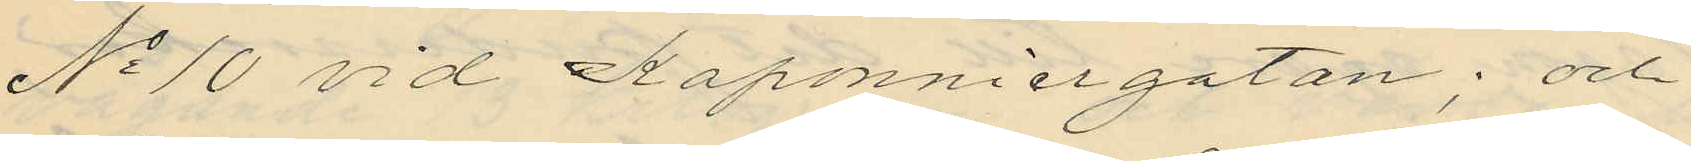No 10 vid Kaponniergatan; och
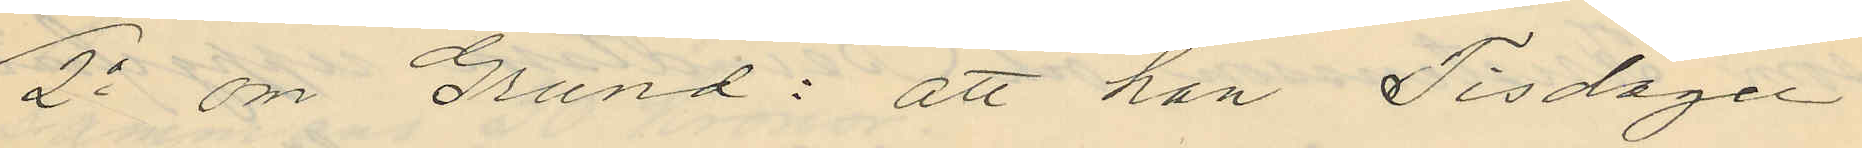2o om Grund: att han Tisdagen
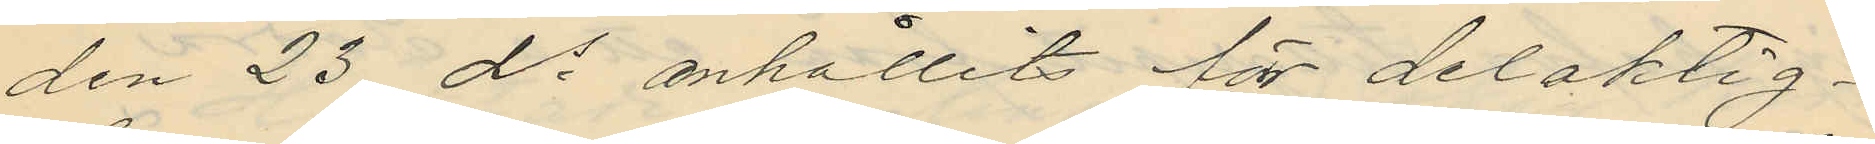den 23 ds anhållits för delaktig¬
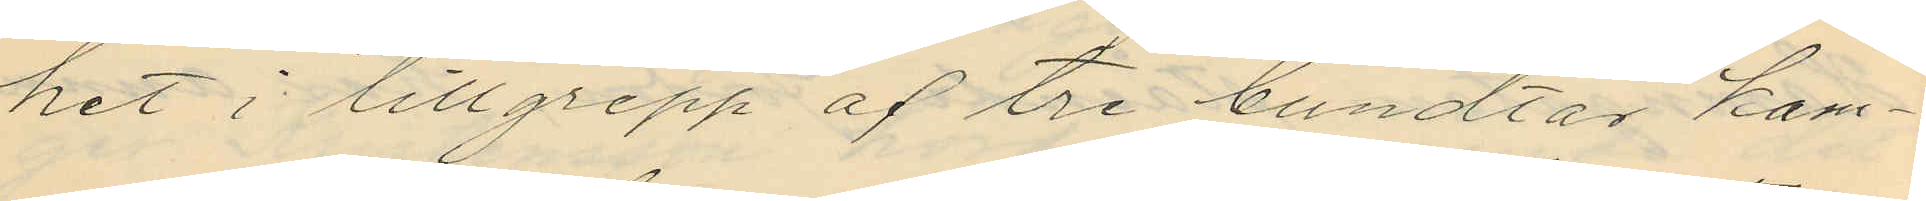het i tillgrepp af tre bundtar kam¬
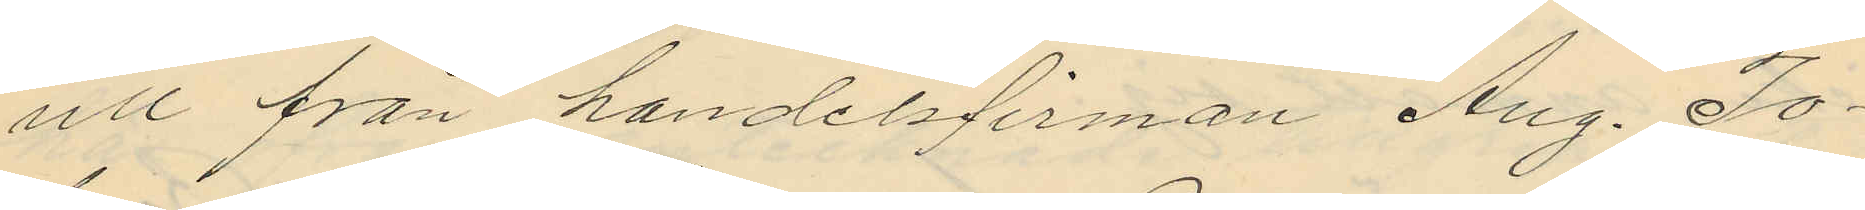ull från handelsfirman Aug. Jo¬
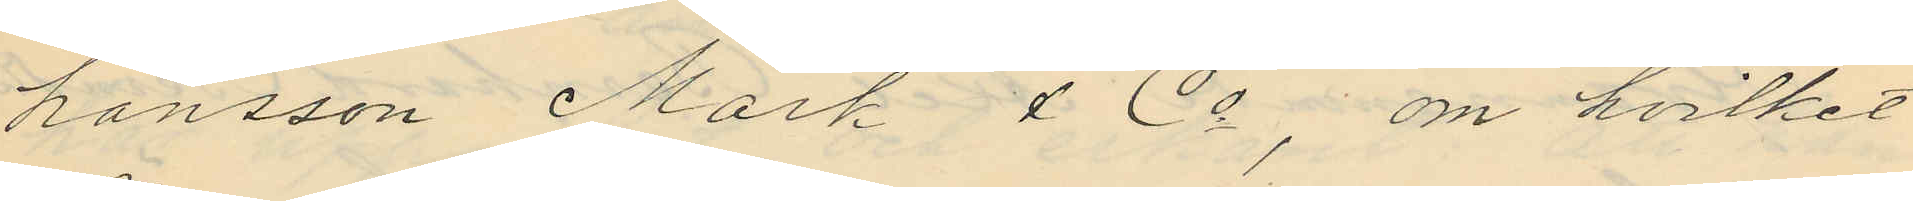hansson Mark & Co; om hvilket
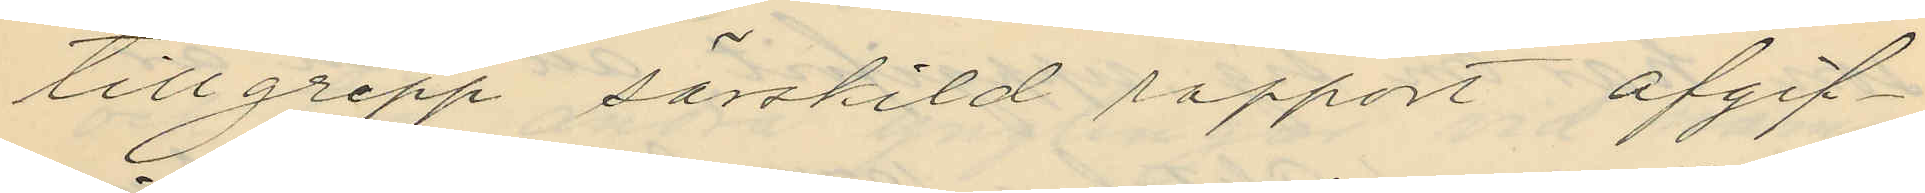tillgrepp särskild rapport afgif¬
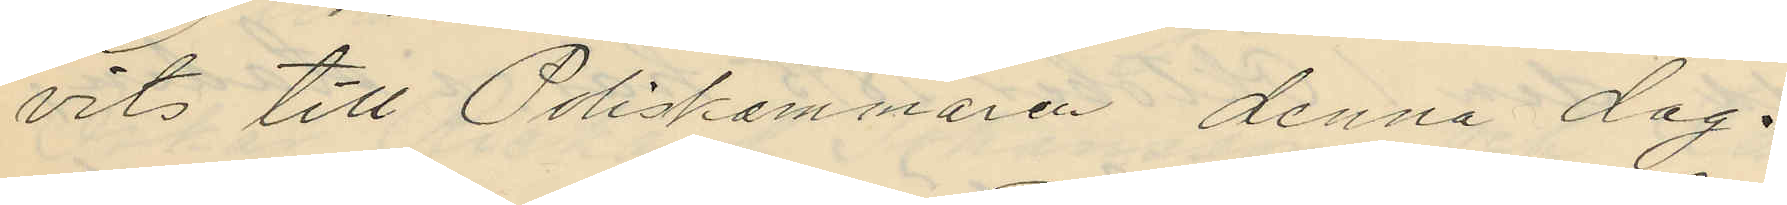vits till Poliskammaren denna dag.
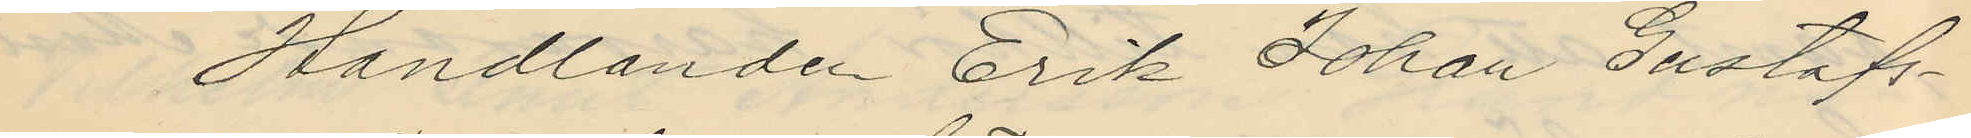 Handlanden Erik Johan Gustafs¬
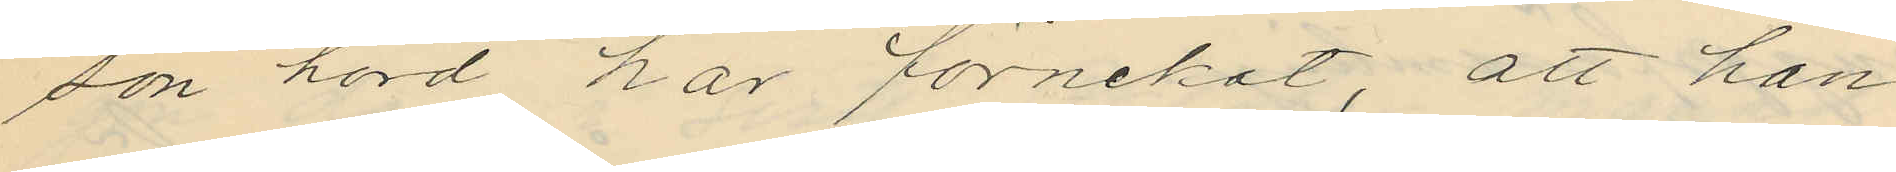son hörd har förnekat, att han
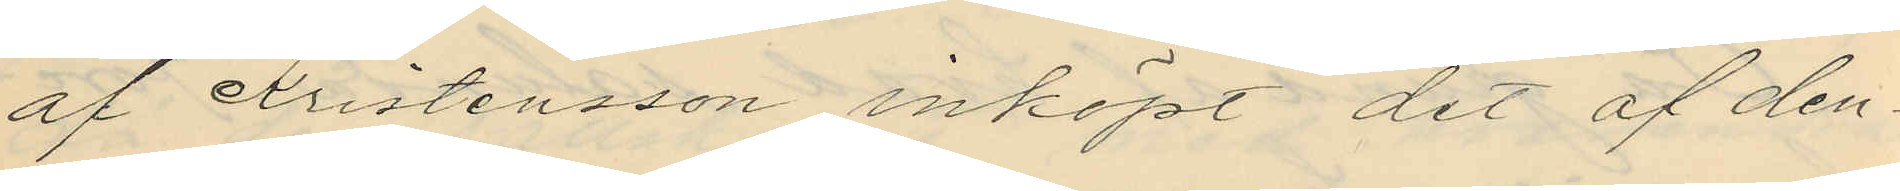af Kristensson inköpt det af den¬
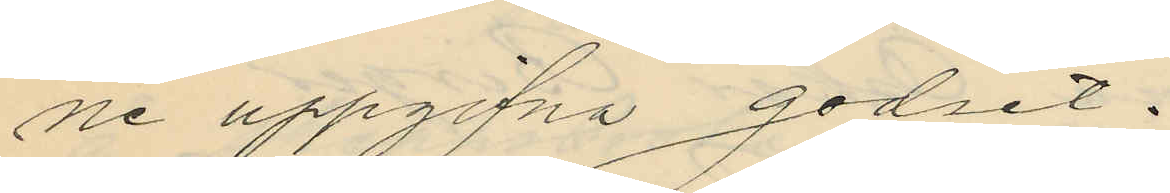ne uppgifna godset.
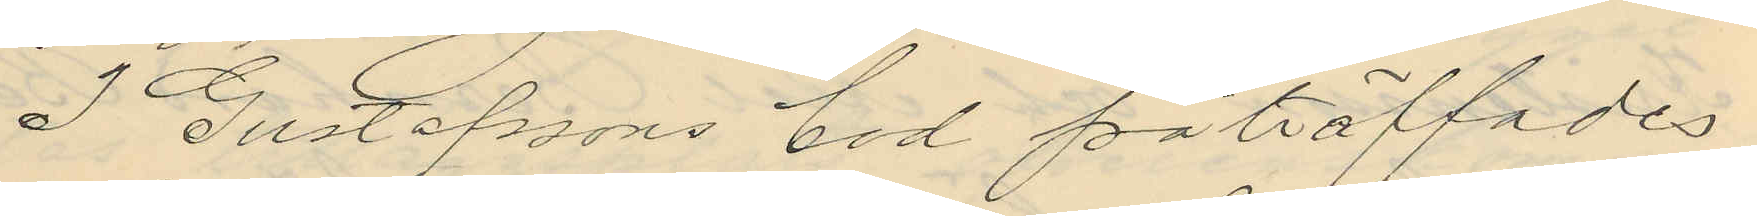I Gustafssons bod påträffades
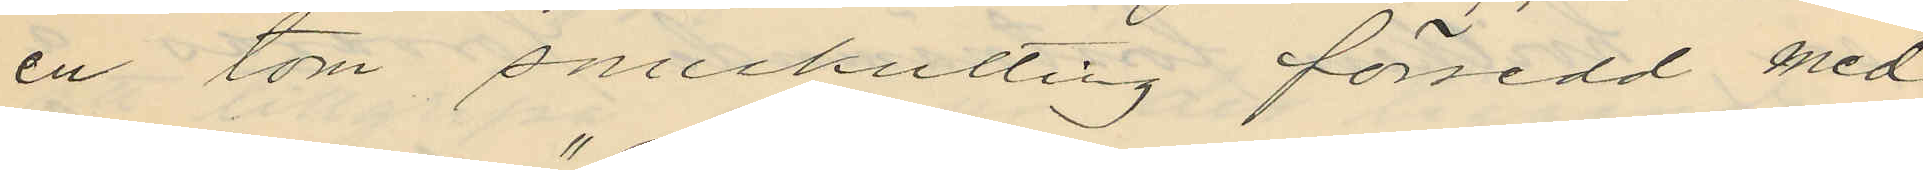en tom snuskutting försedd med
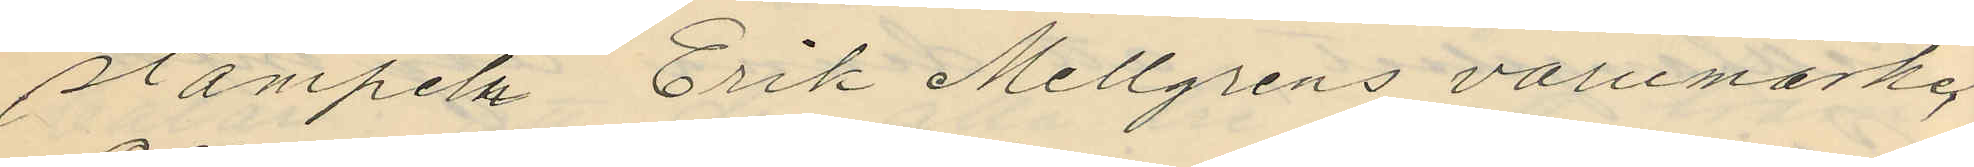stämpeln "Erik Mellgrens varumärke,
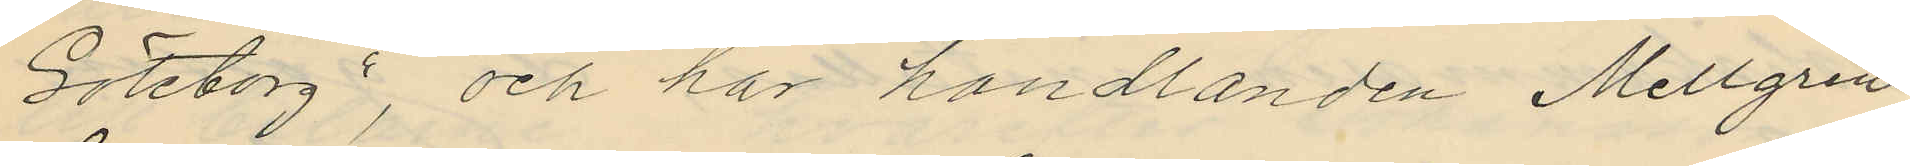Göteborg", och har handlanden Mellgren
